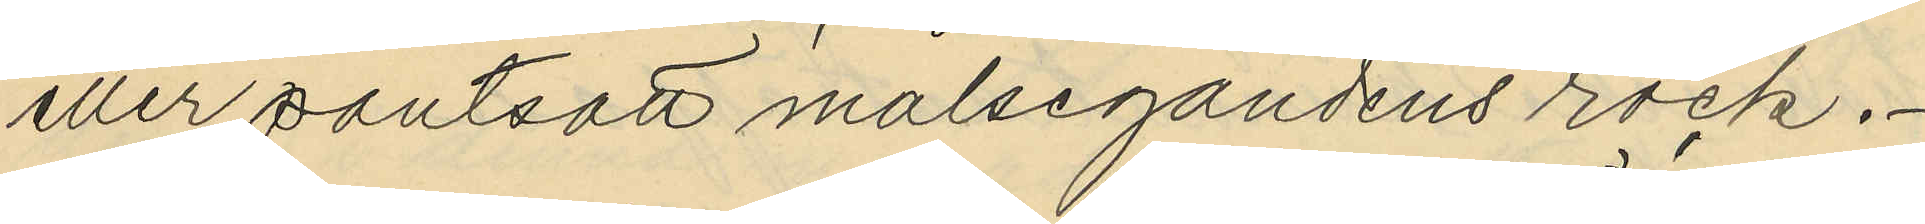eller pantsatt målsegandens rock.
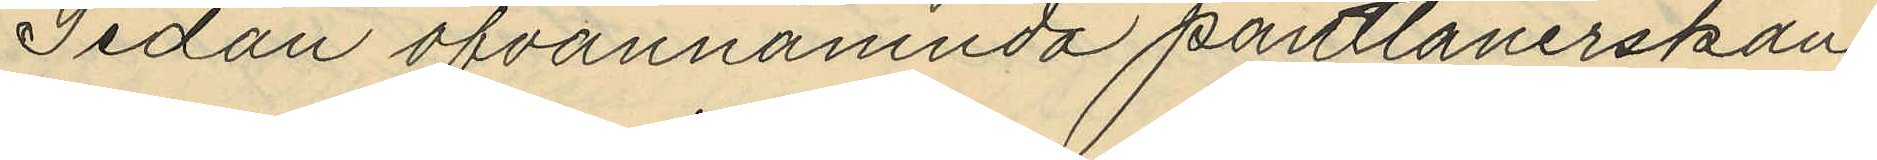Sedan ofvannämnda pantlånerskan
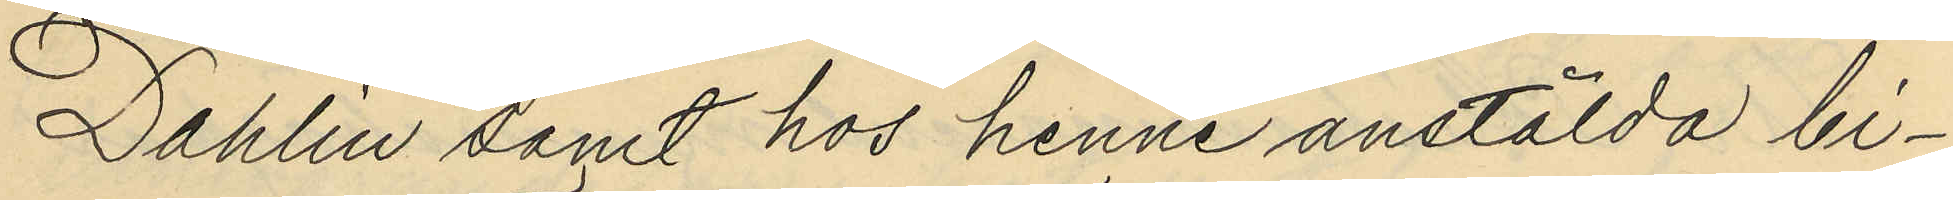Dahlin samt hos henne anstälda bi¬
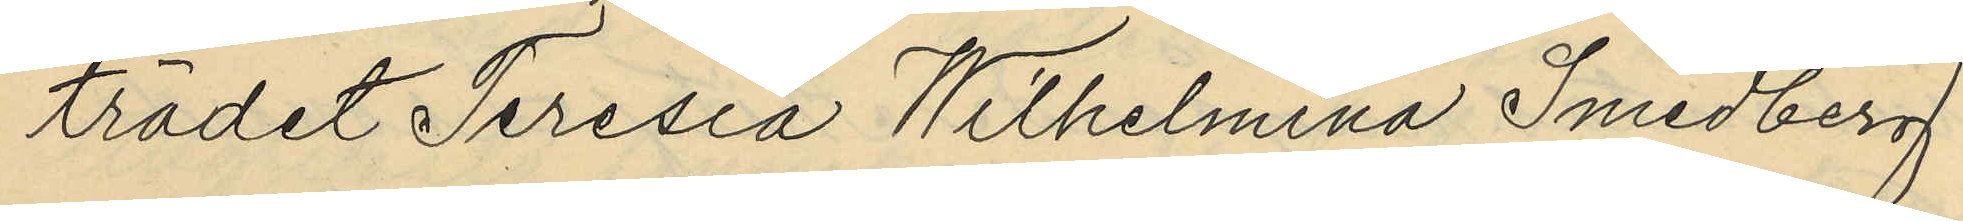trädet Teresia Wilhelmina Smedberg
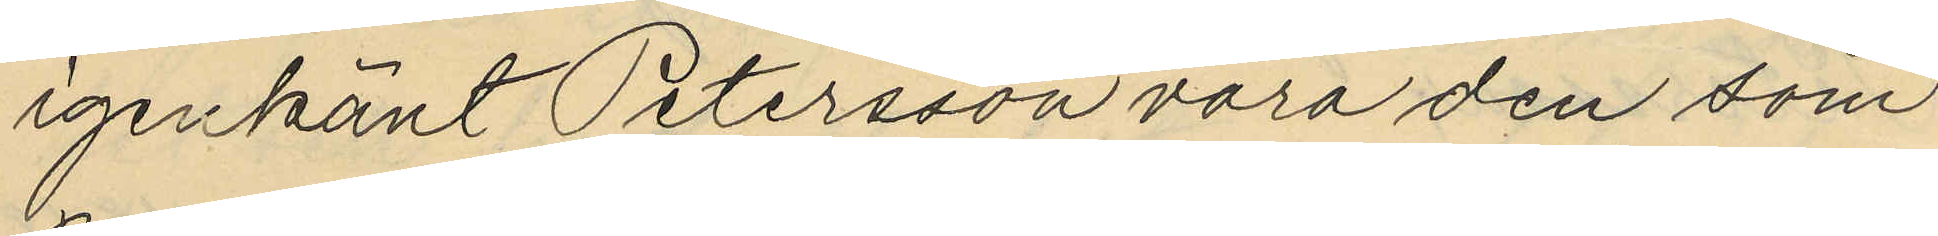igenkänt Petersson vara den som
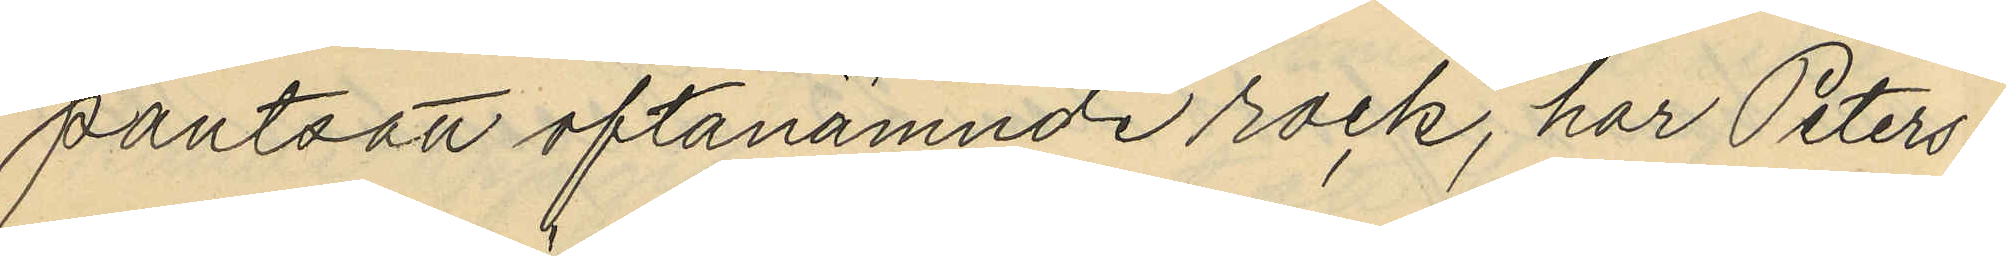pantsatt oftanämnde rock, har Peters¬
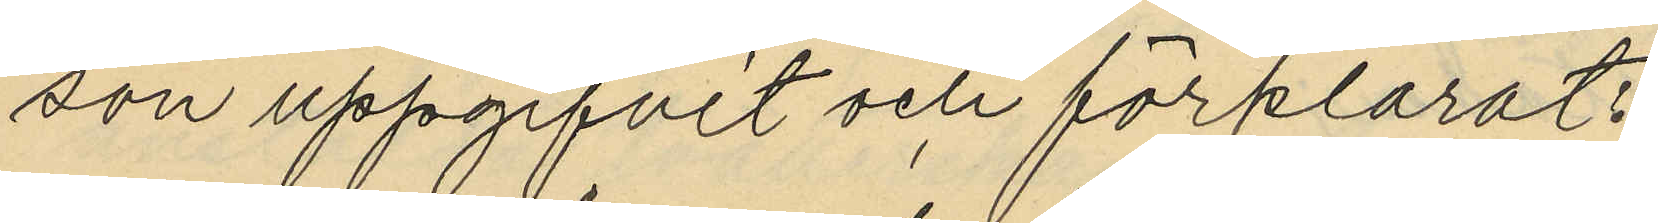son uppgifvit och förklarat:
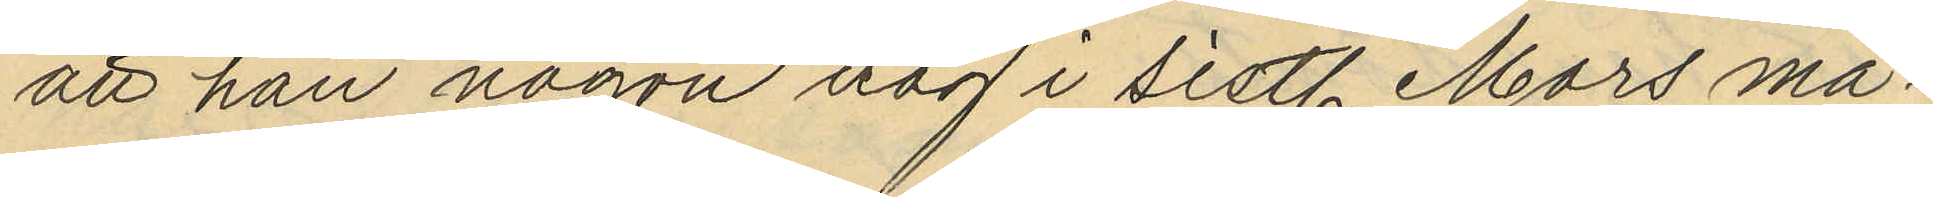att han någon dag i sistl. Mars må¬
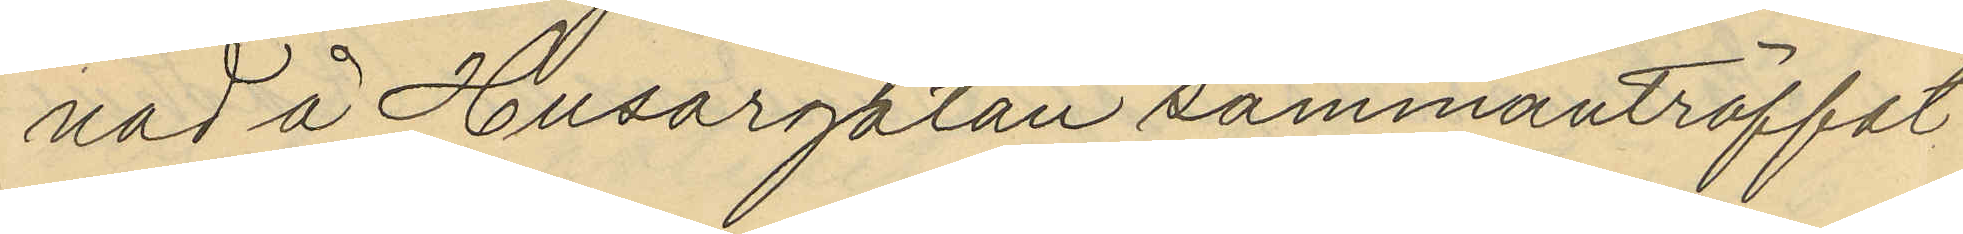nad å Husargatan sammanträffat
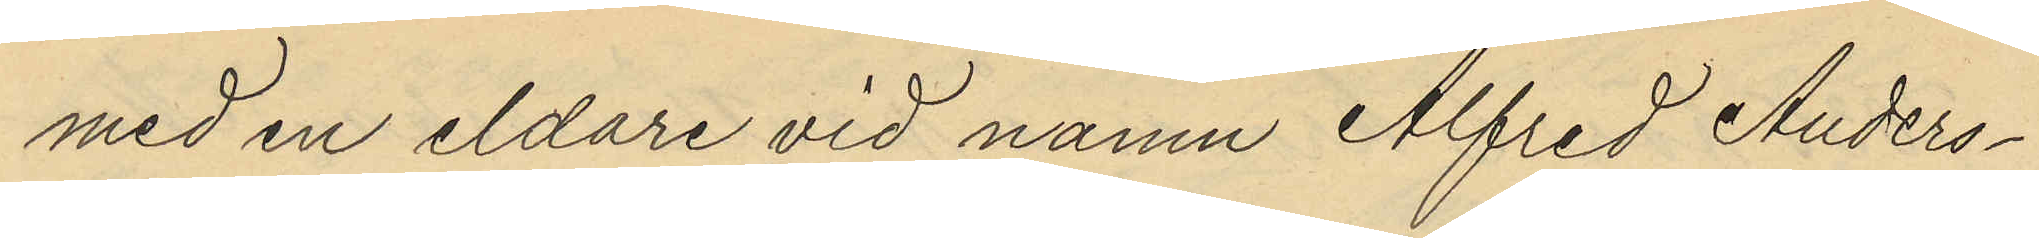med en eldare vid namn Alfred Anders¬
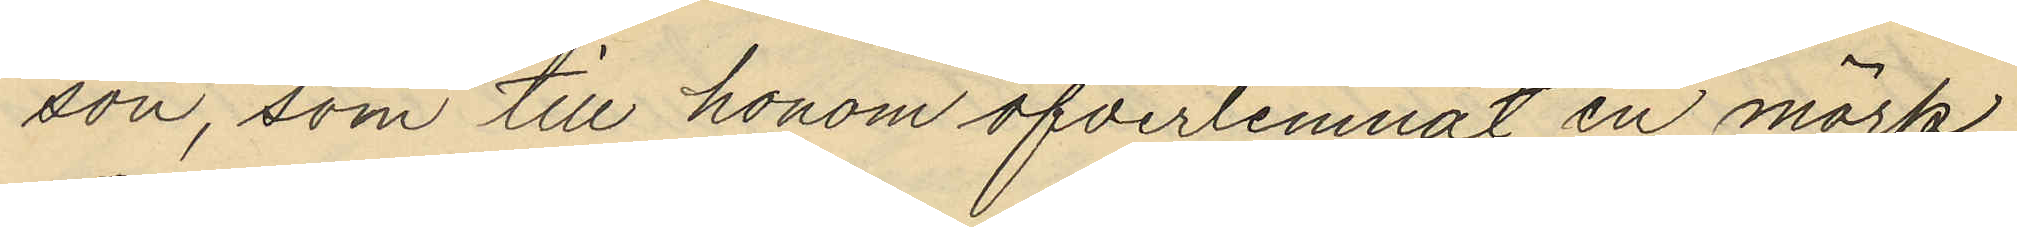son, som till honom öfverlemnat en mörk
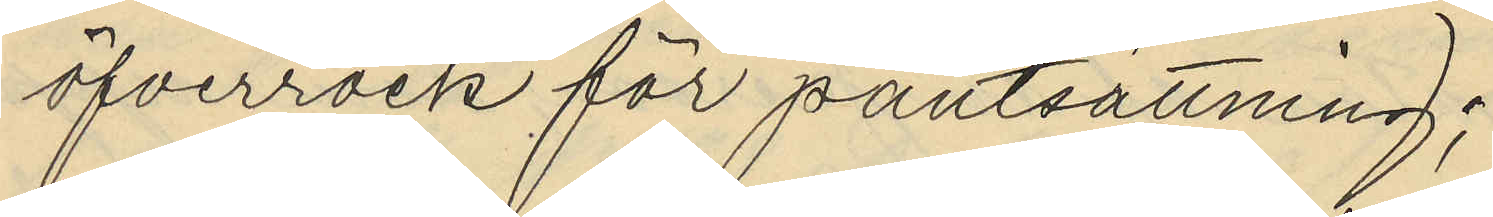öfverrock för pantsättning;
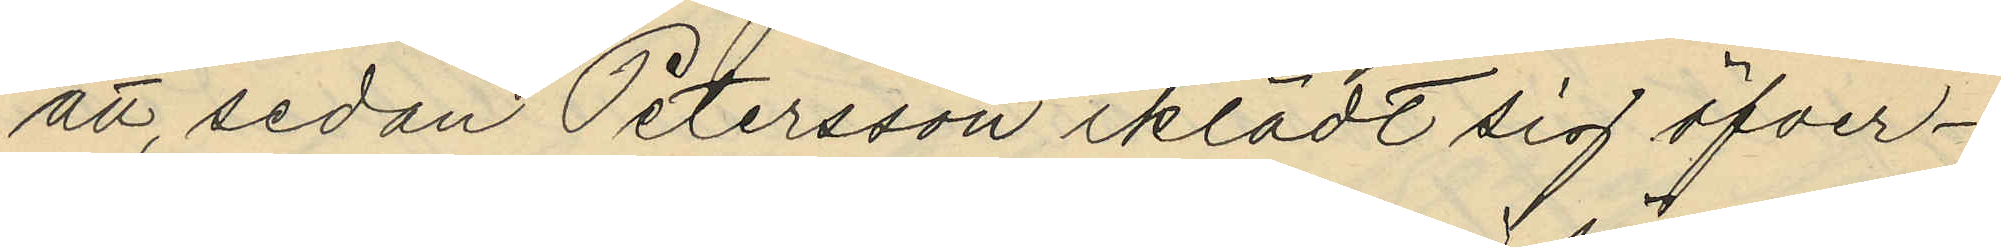att sedan Petersson iklädt sig öfver¬
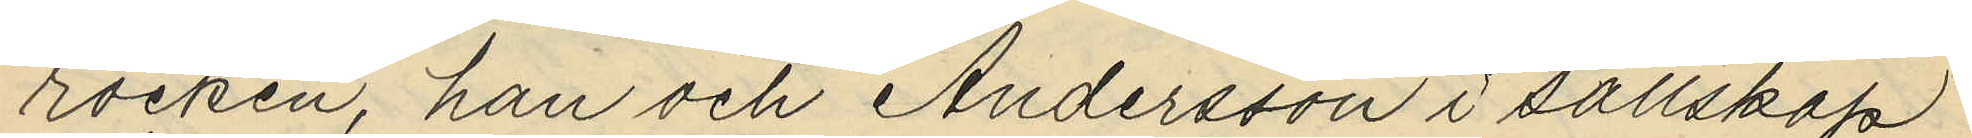rocken, han och Andersson i sällskap
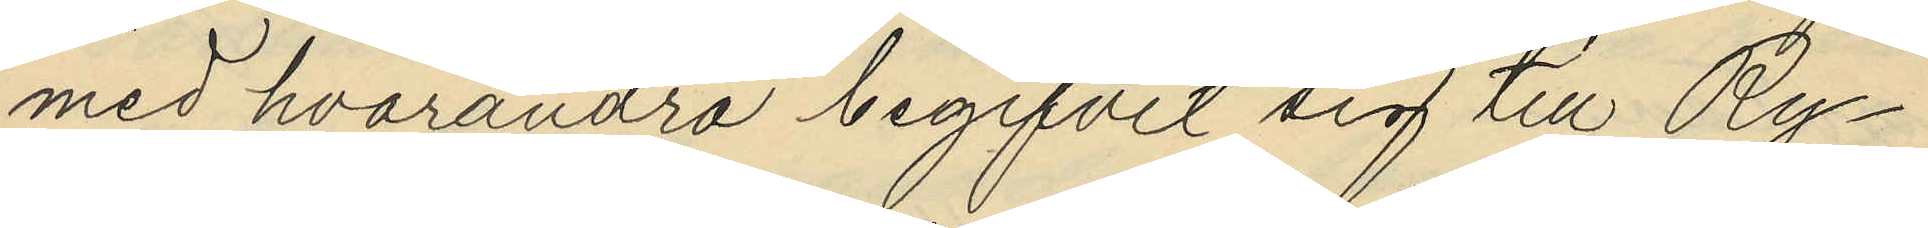med hvarandra begifvit sig till Ry¬
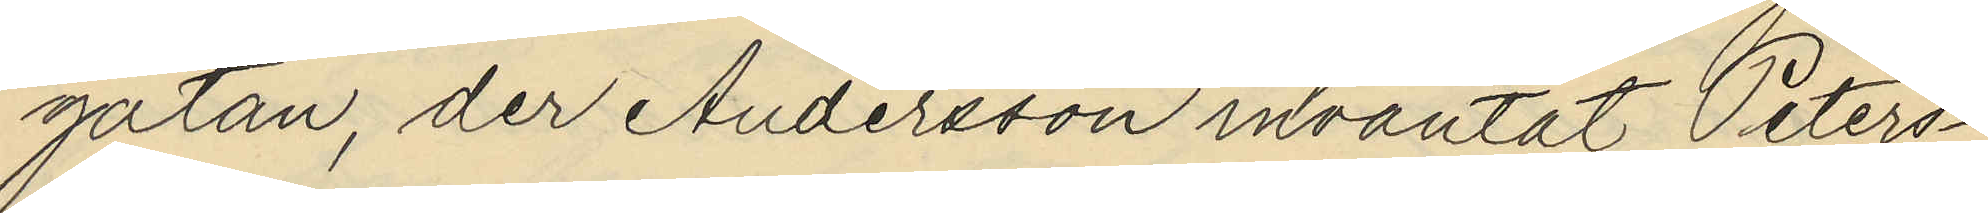gatan, der Andersson inväntat Peters¬
